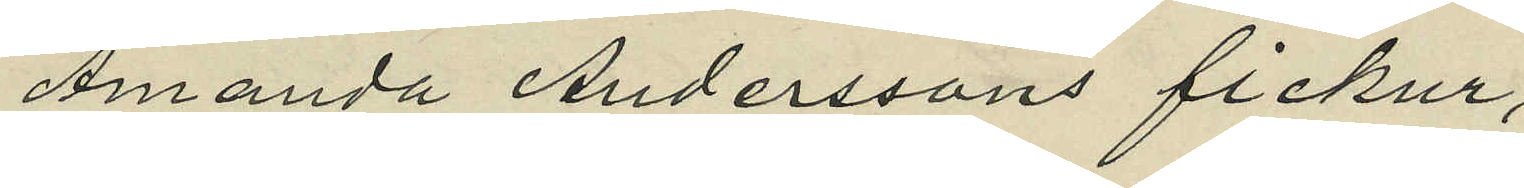Amanda Anderssons fickur,
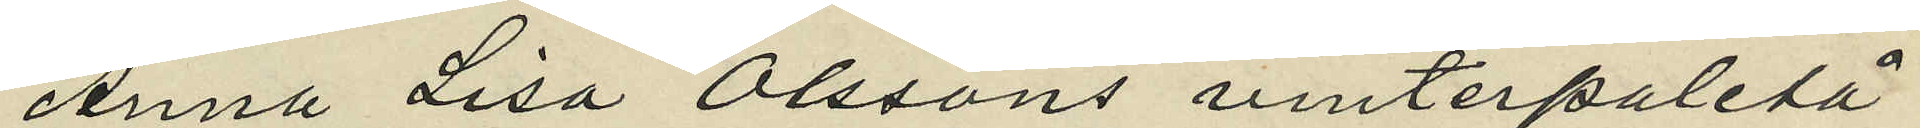Anna Lisa Olssons vinterpaletå
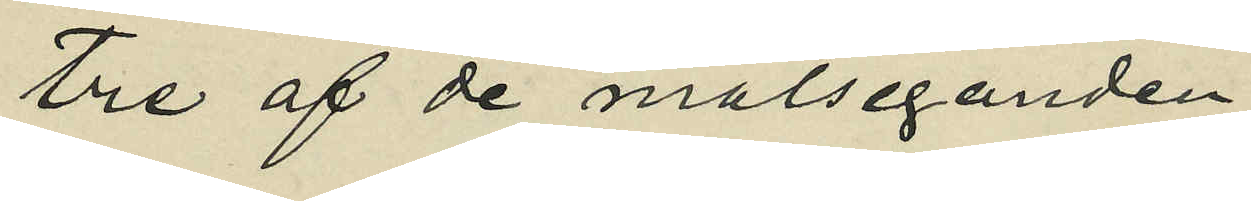tre af de målseganden
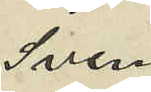Sven
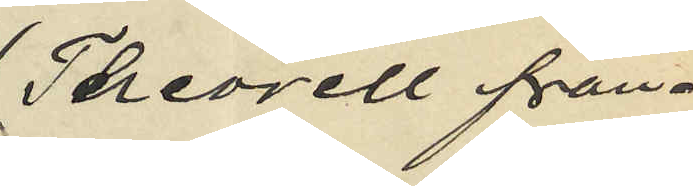Theorell från
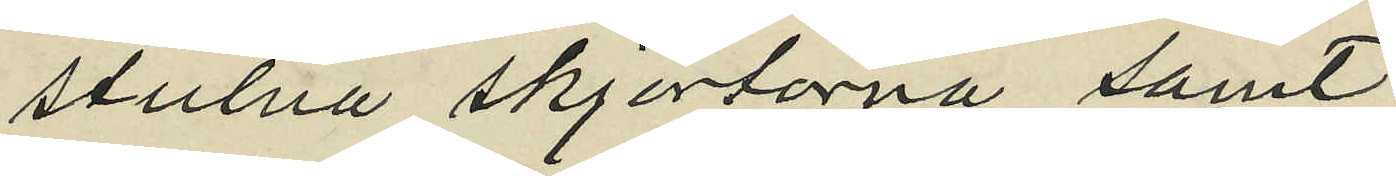stulna skjortorna samt
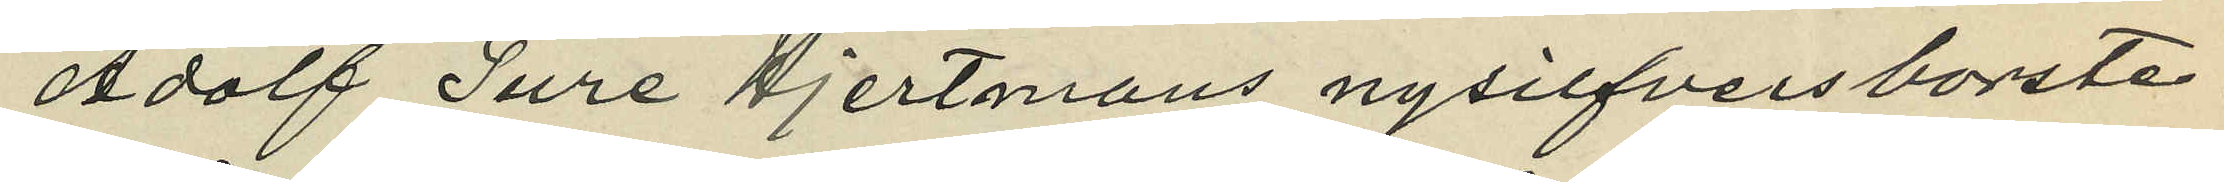Adolf Ture Hjertmans nysilfversborste.
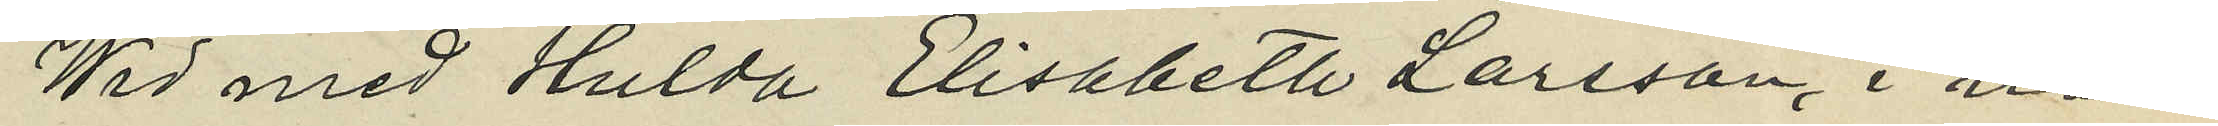Wid med Hulda Elisabeta Larsson, i när¬
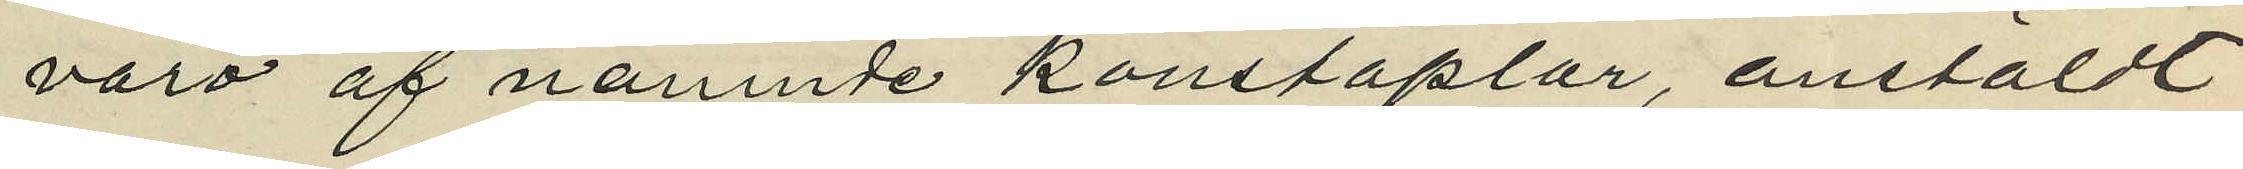varo af nämnde konstaplar, anstäldt
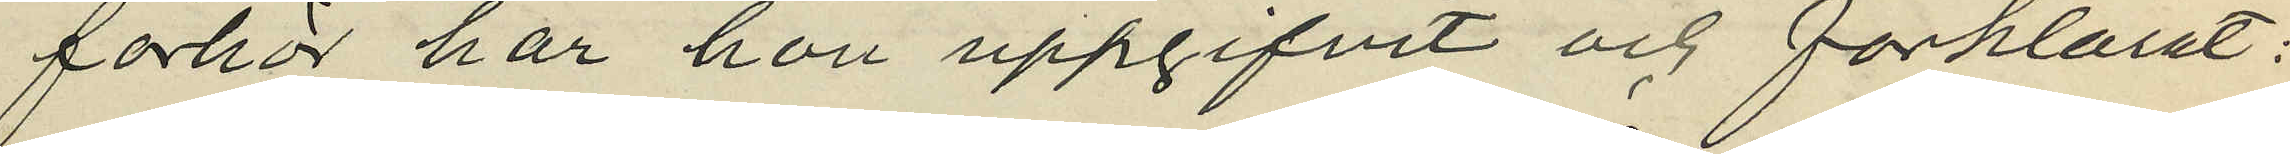förhör har hon uppgifvit och förklarat:
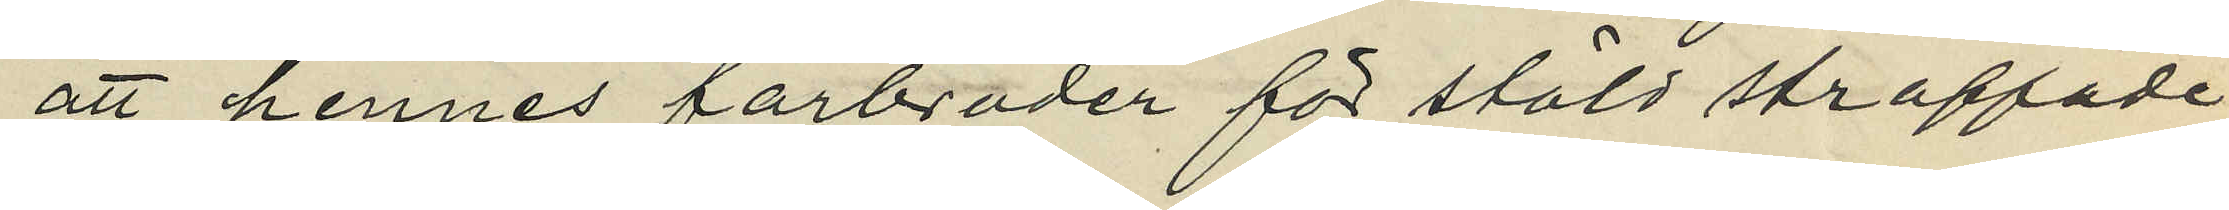att hennes farbroder för stöld straffade
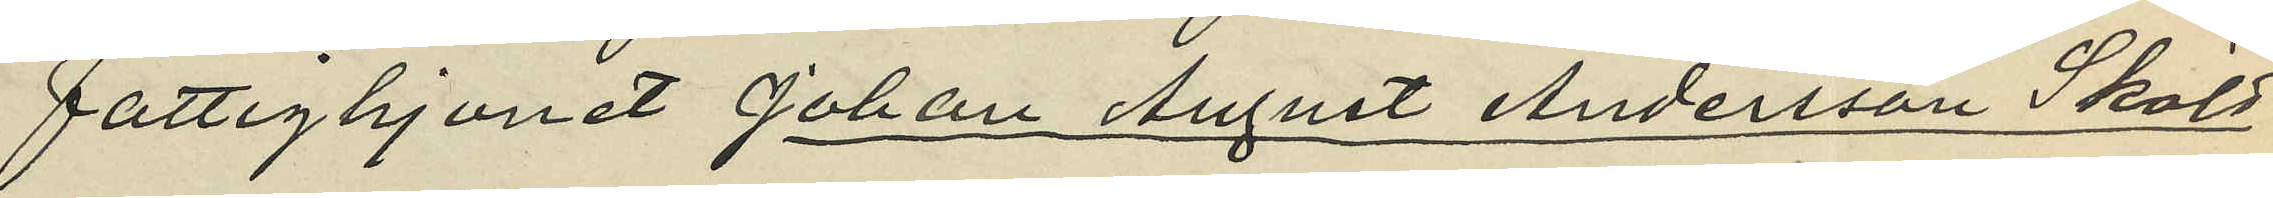Fattighjonet Johan August Andersson Sköld
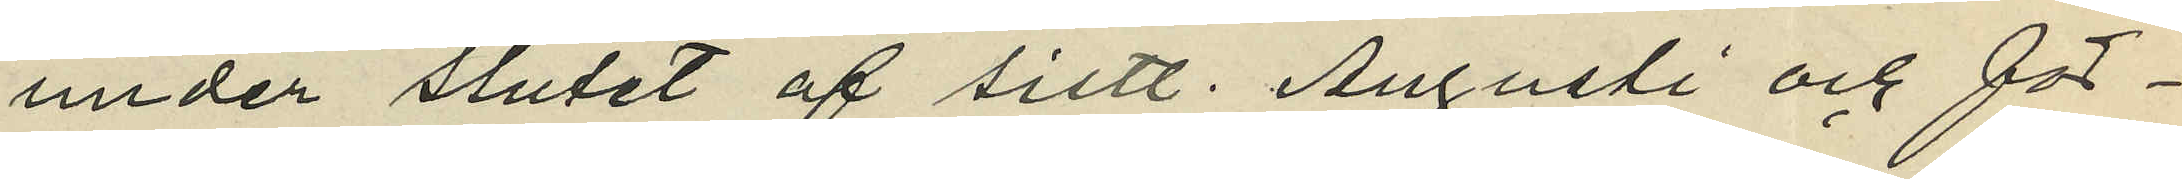under slutet af sistl. Augusti och för¬
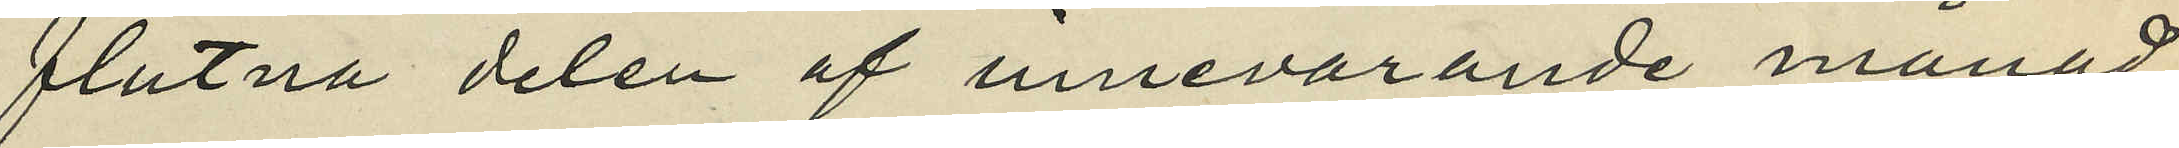flutna delen af innevarande månad
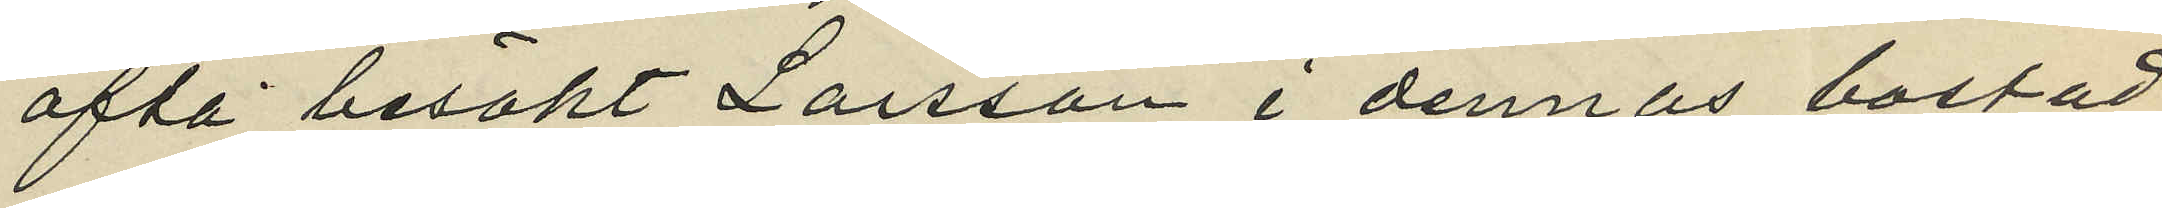ofta besökt Larsson i dennas bostad
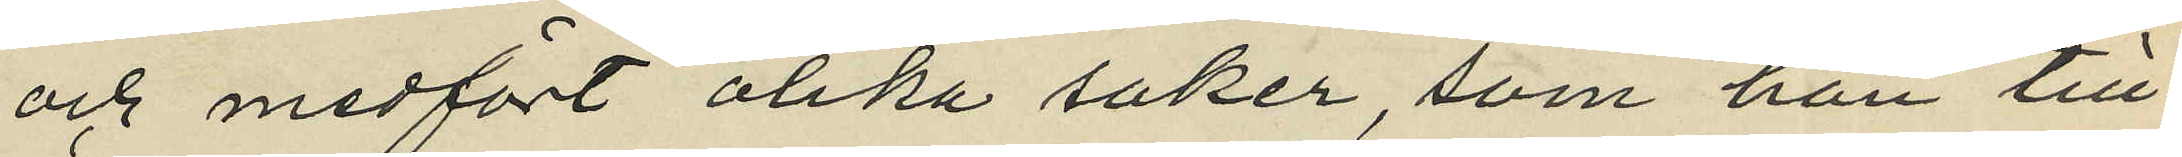och medfört olika saker, som han till
